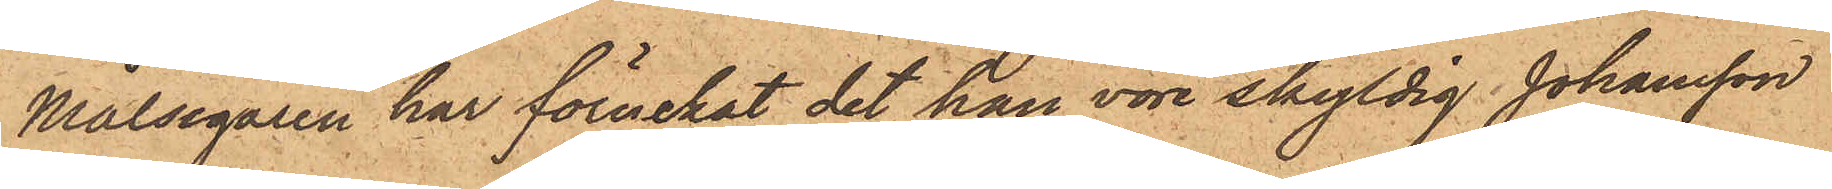Målsegaren har förnekat det han vore skyldig Johansson
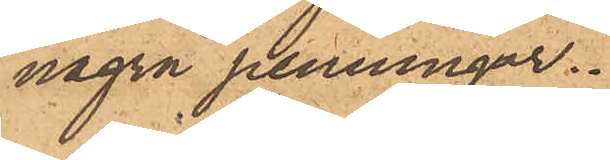några penningar.
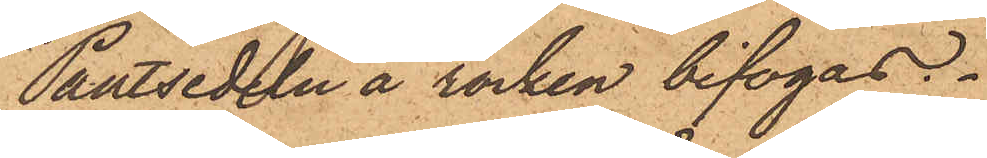Pantsedeln å rocken bifogas.
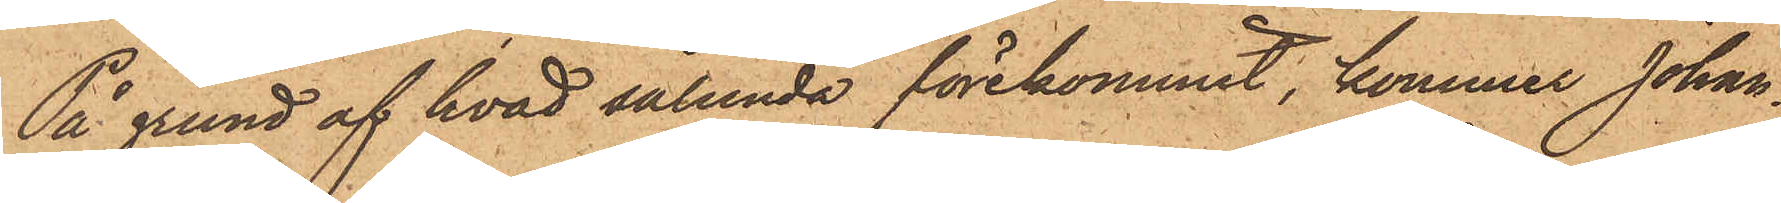På grund af hvad sålunda förekommit, kommer Johan¬
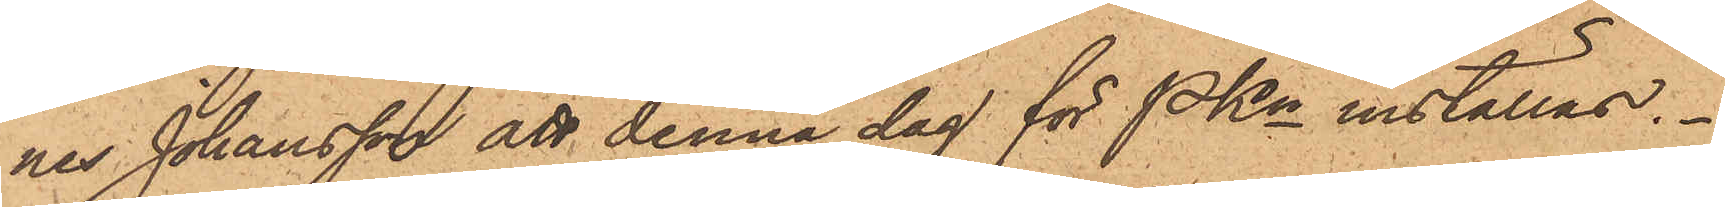nes Johansson att denna dag för PKn inställas.
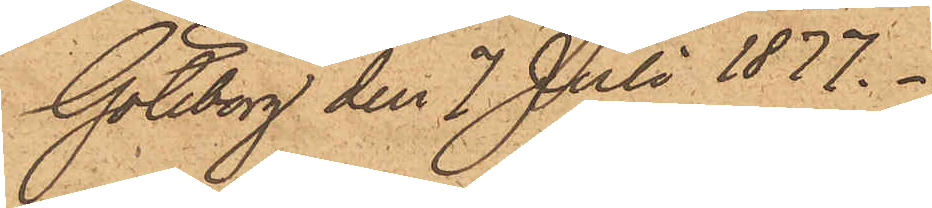Göteborg den 7 Juli 1877.
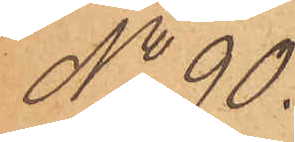No 90.
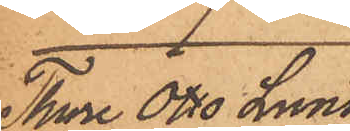Thore Otto Lund¬
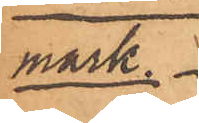mark
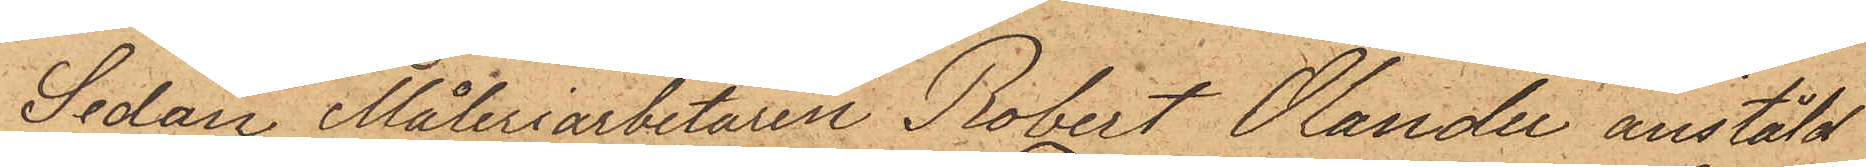Sedan Måleriarbetaren Robert Olander anstäld
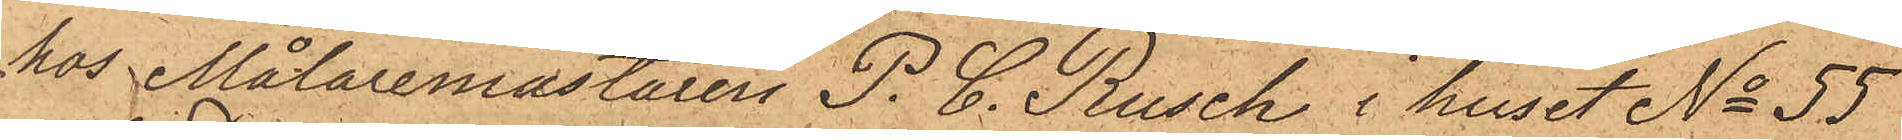hos Målaremästaren P. C. Rusch i huset No 55
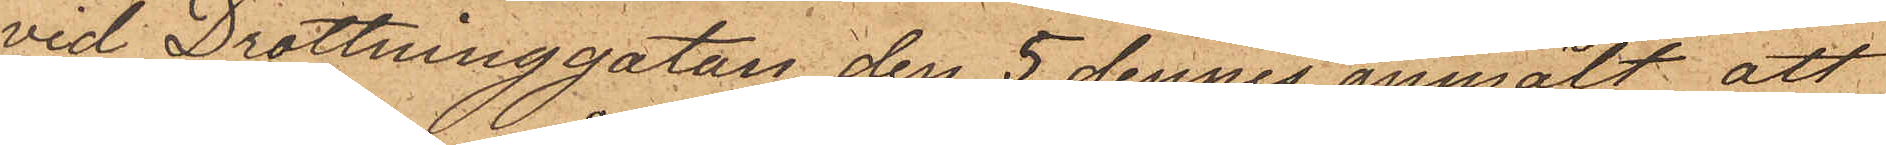vid Drottninggatan den 5 dennes anmält att
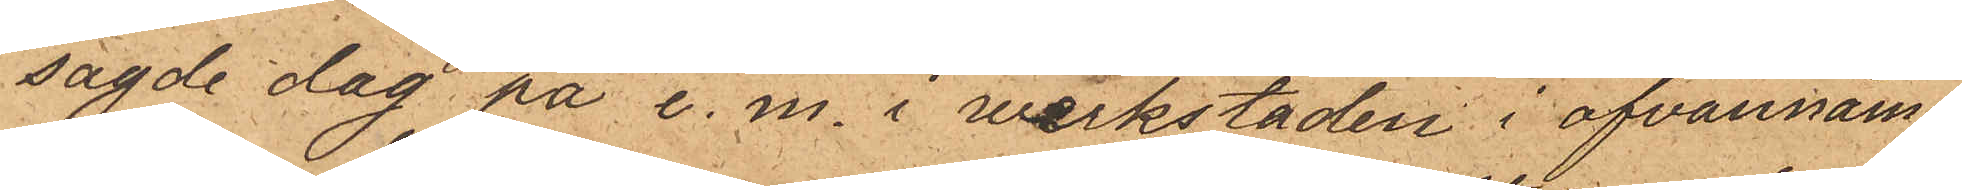sagde dag på e. m. i verkstaden i ofvannäm¬
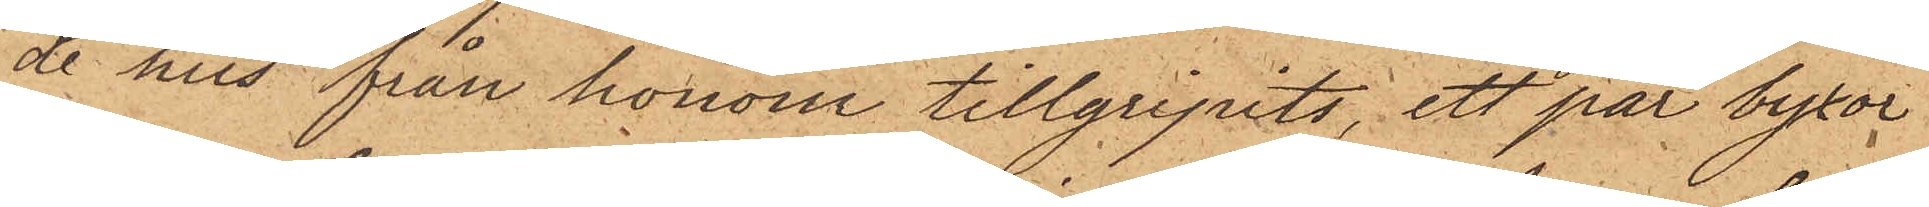de hus från honom tillgripits, ett par byxor
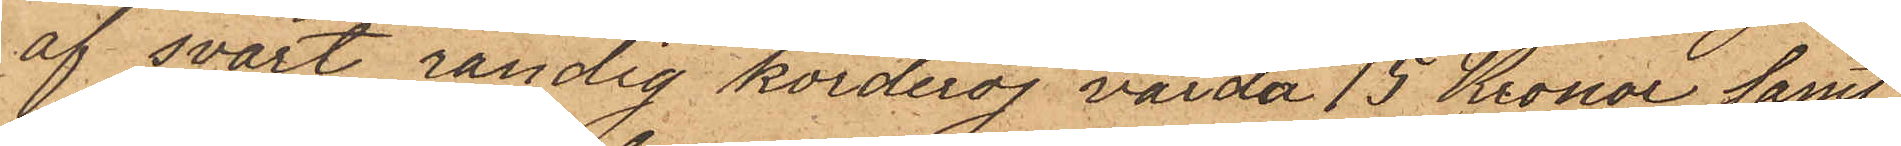af svart randig korderoj värda 15 Kronor samt
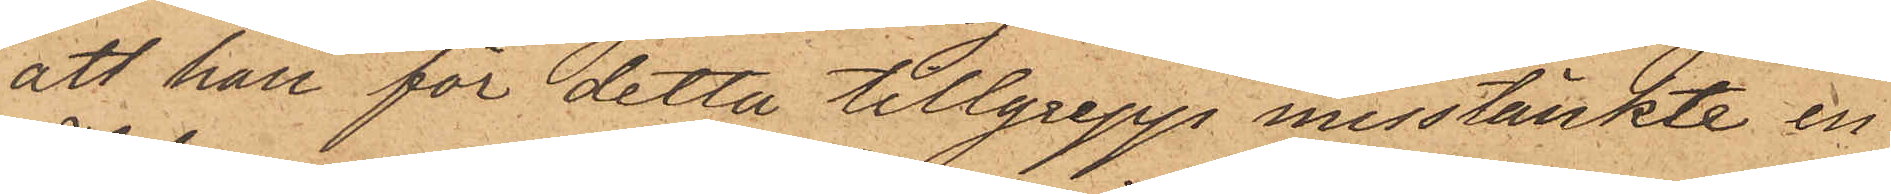att han för detta tillgrepp misstänkte en
